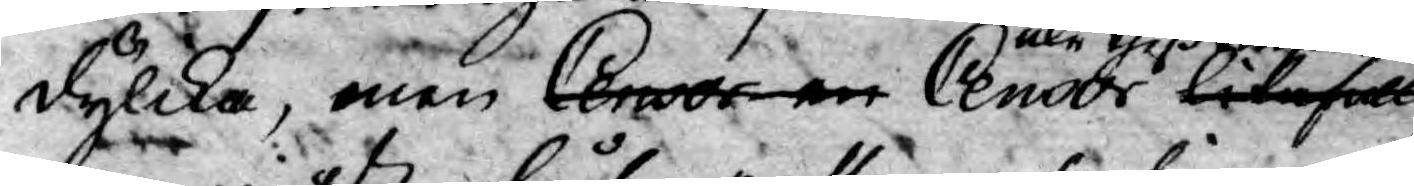dylika, men Censor en Censor likafullt
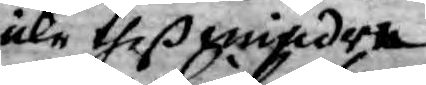icke theß mindre
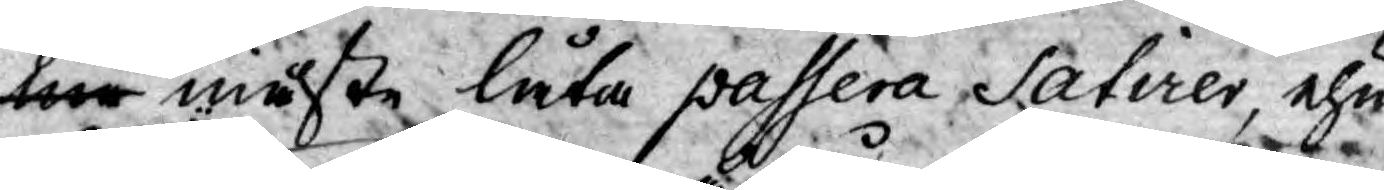me måste låta passera Satirer, ehu¬
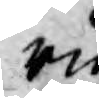ru
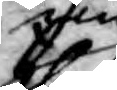jiu
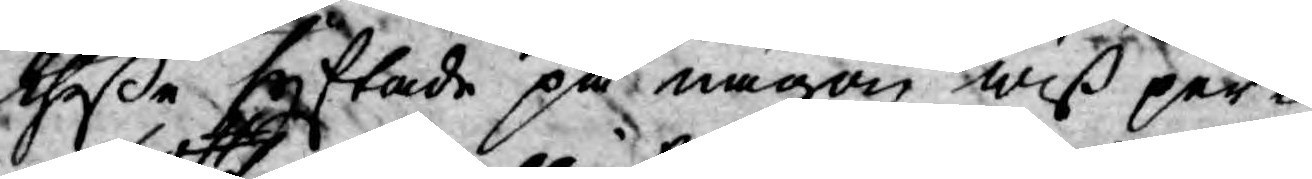theße syftade på någon wiß per¬
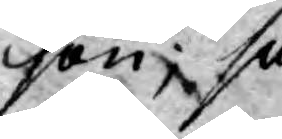son; så
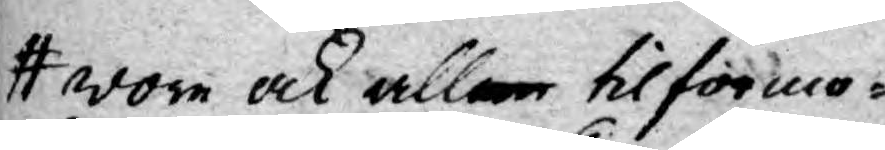wore ock aller tilförmo¬
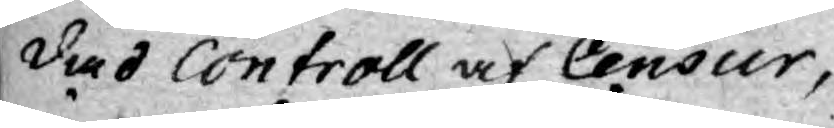dad Controll af Censur,
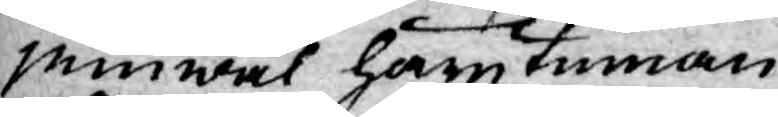jemwäl härutinnan
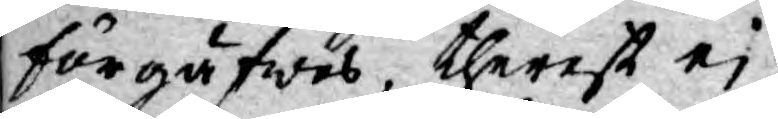förgäfwes, therest ej
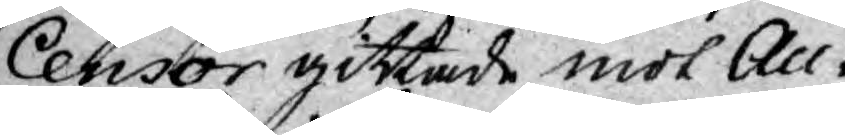Censor gittade mot Au-
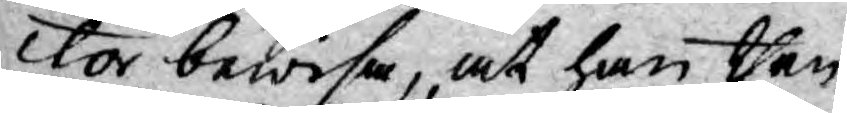ctor bewisa, at han then
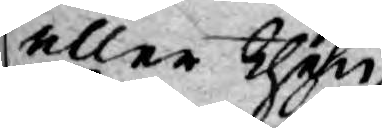eller then
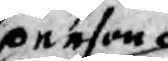person
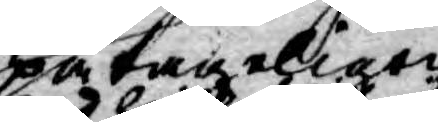påtageligen
